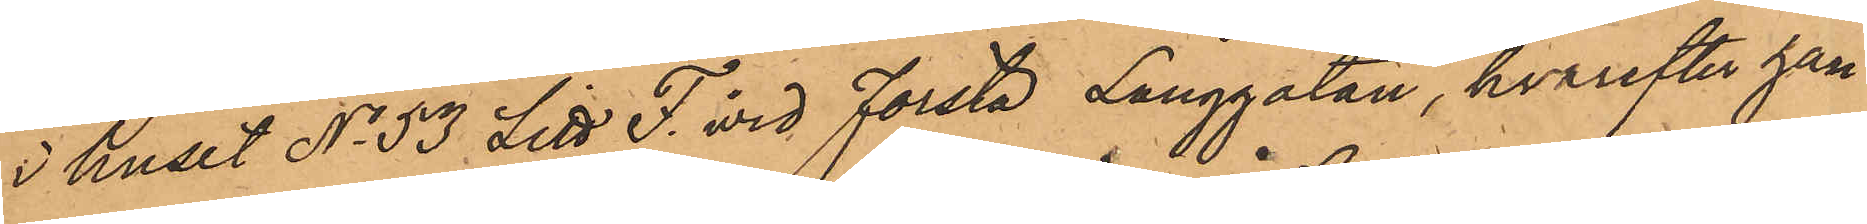i huset No 53 Litt F. vid Första Långgatan, hvarefter han
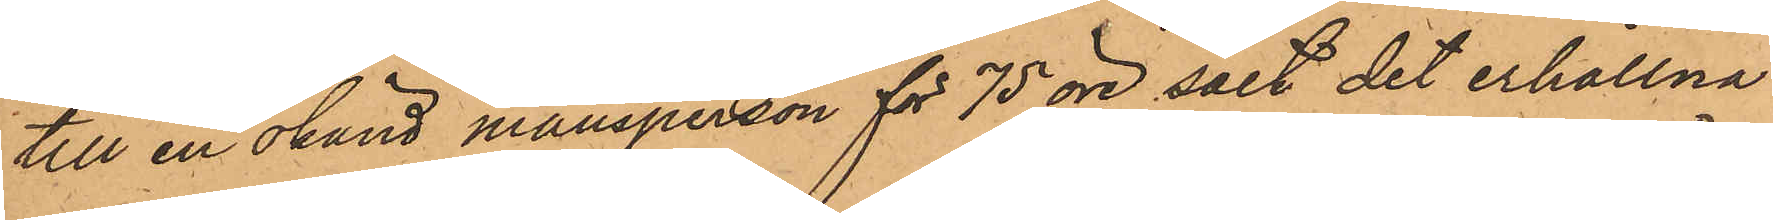till en okänd mansperson för 75 öre sålt det erhållna
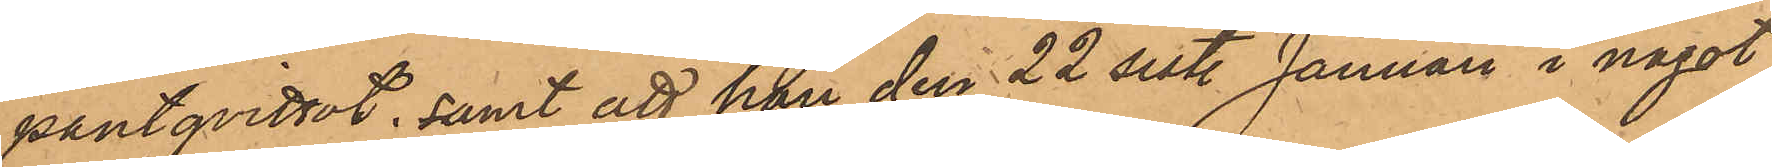pantqvittot; samt att han den 22 sistl. Januari i något
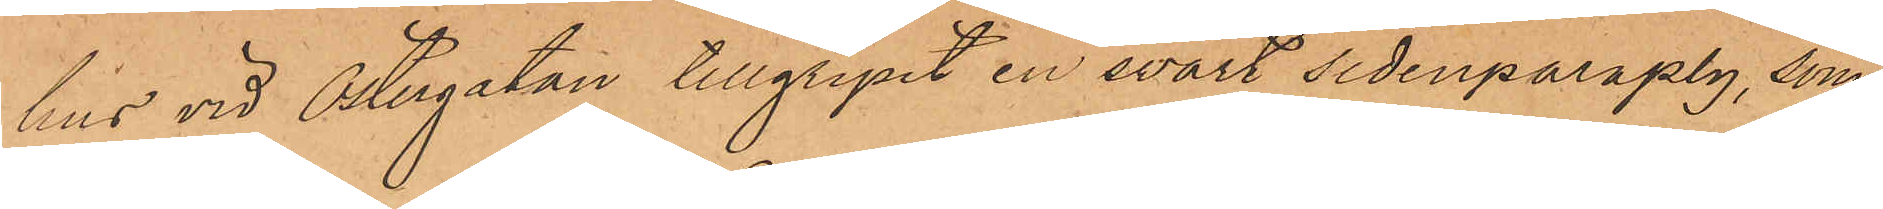hus vid Östergatan tillgripit en svart sidenparaply, som
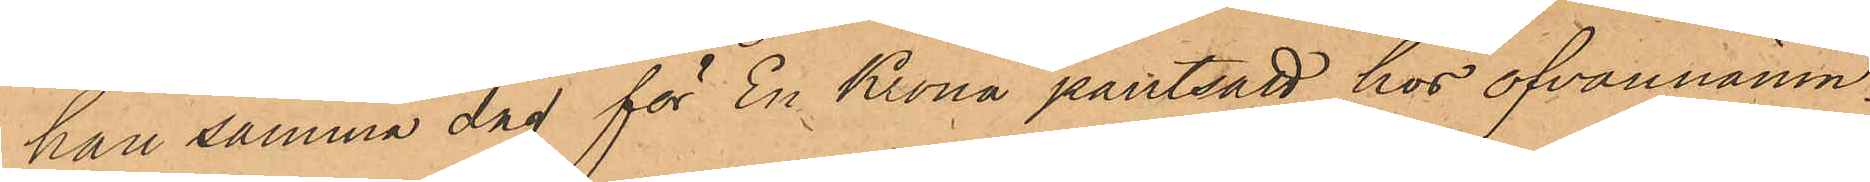han samma dag för En Krona pantsatt hos ofvannämn¬
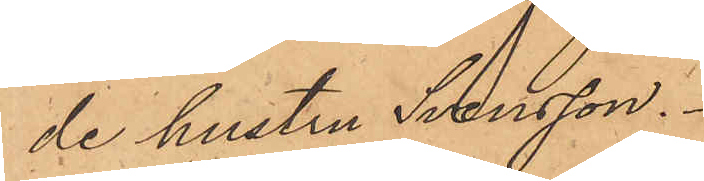de hustru Svensson.
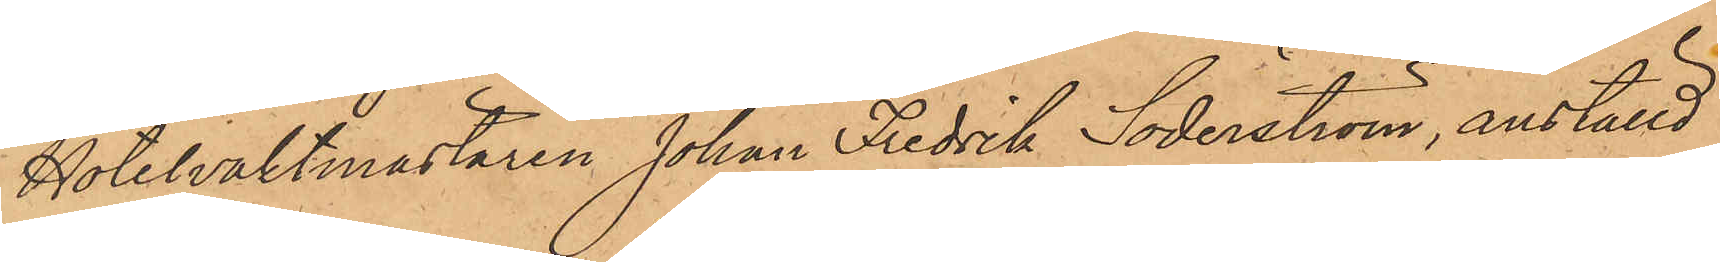Hotelvaktmästaren Johan Fredrik Söderström, anställd
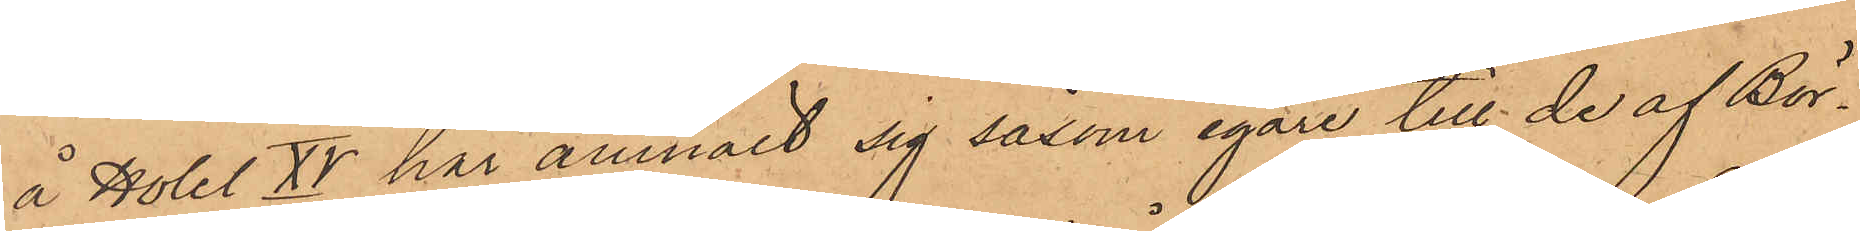å Hotel XV har anmält sig såsom egare till de af Bör¬
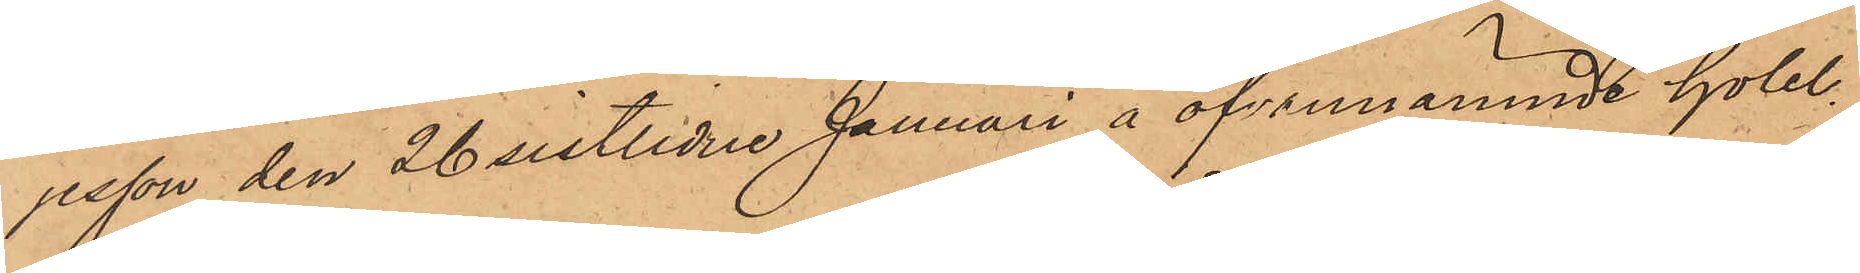jesson den 26 sistlidne Januari å ofvannämnde hotel
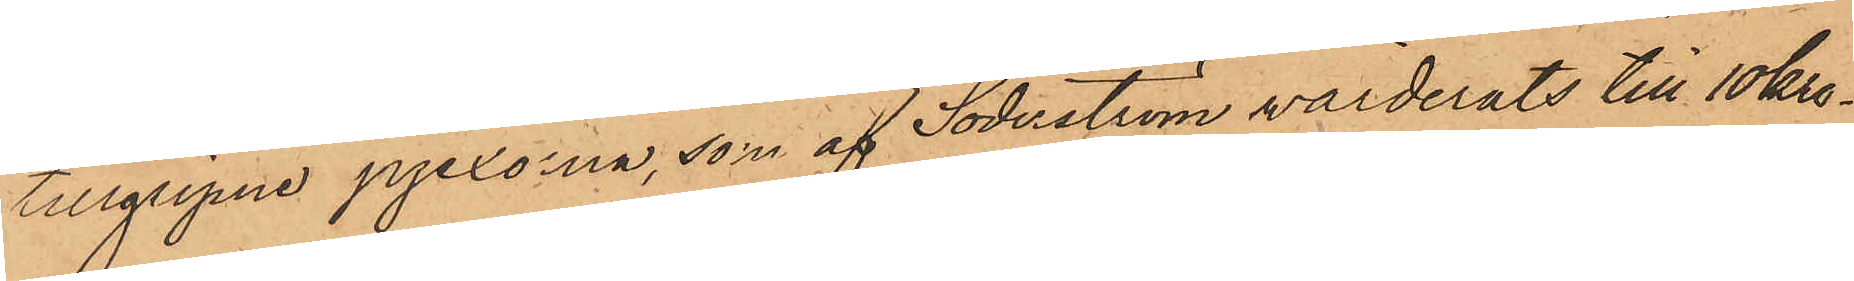tillgripne pjexorna, som af Söderström värderats till 10 kro¬
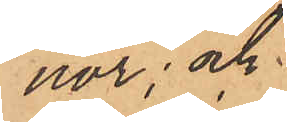nor; och
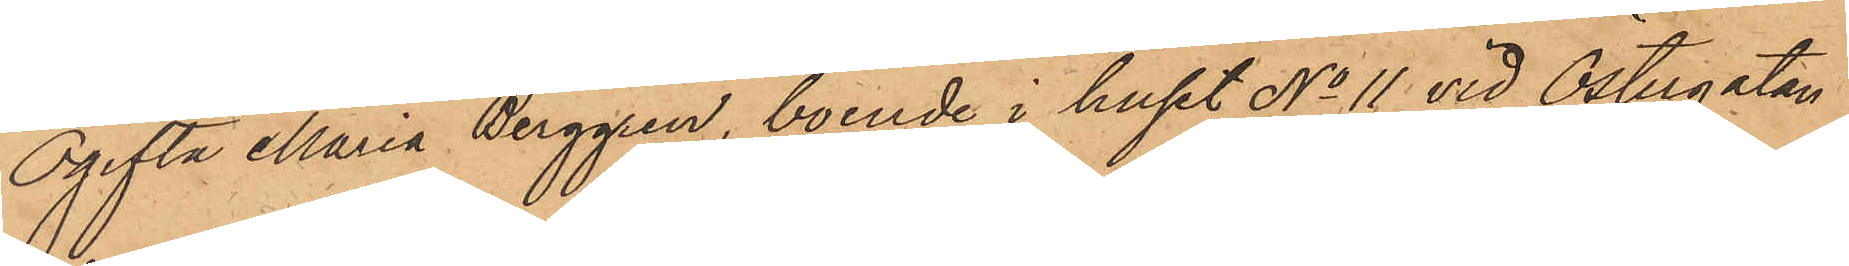Ogifta Maria Berggren, boende i huset No 11 vid Östergatan
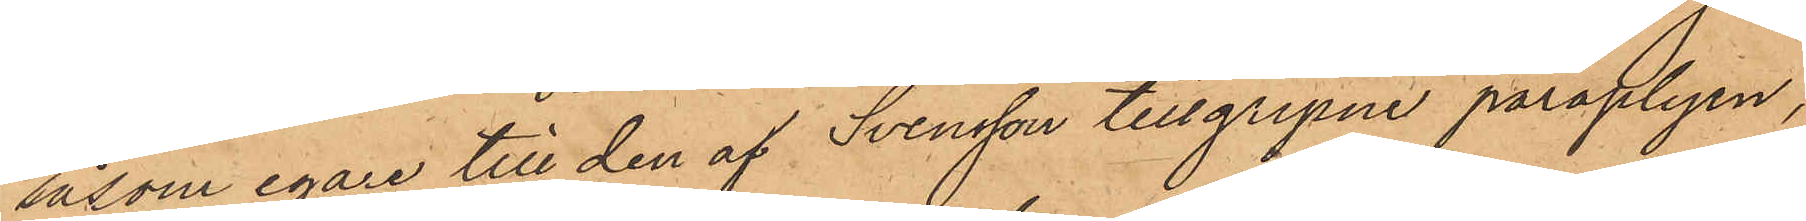såsom egare till den af Svensson tillgripne paraplyen,
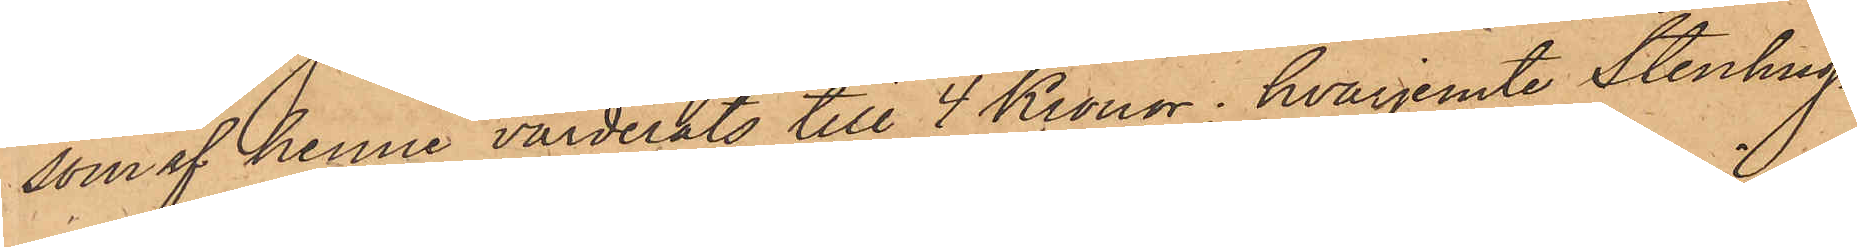som af henne värderats till 4 Kronor, hvarjemte Stenhug¬
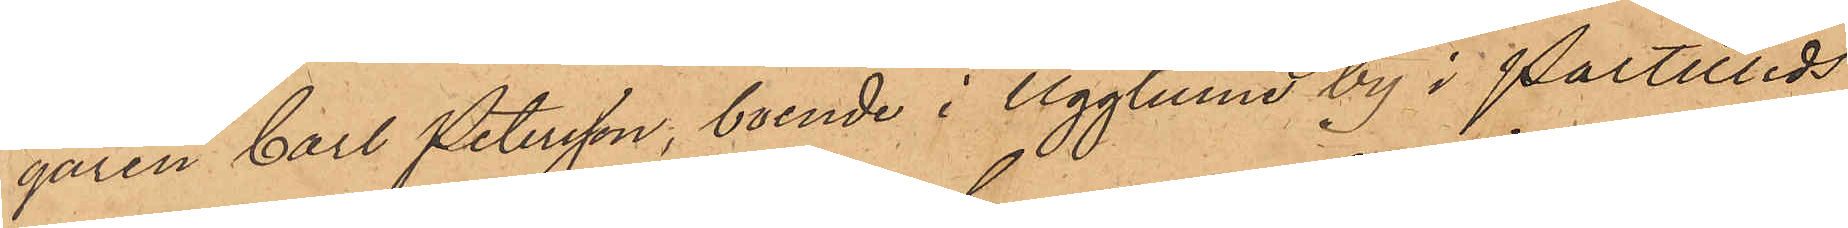garen Carl Petersson, boende i Ugglums by i Partilleds
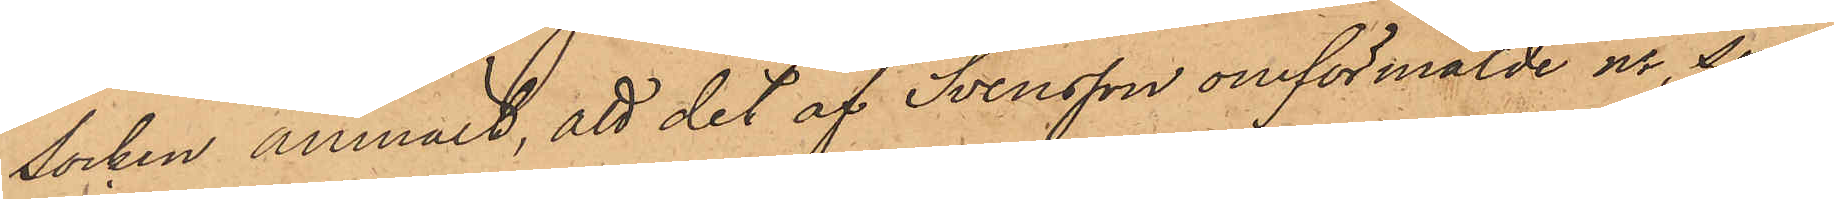socken anmält, att det af Svensson omförmälde ur, som
